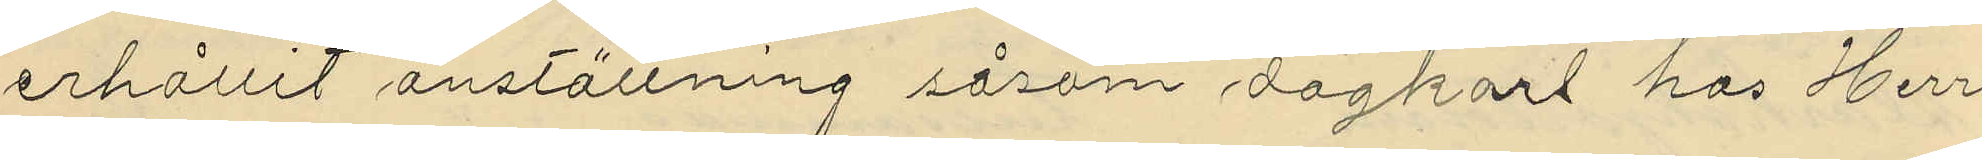erhållit anställning såsom dagkarl hos Herr
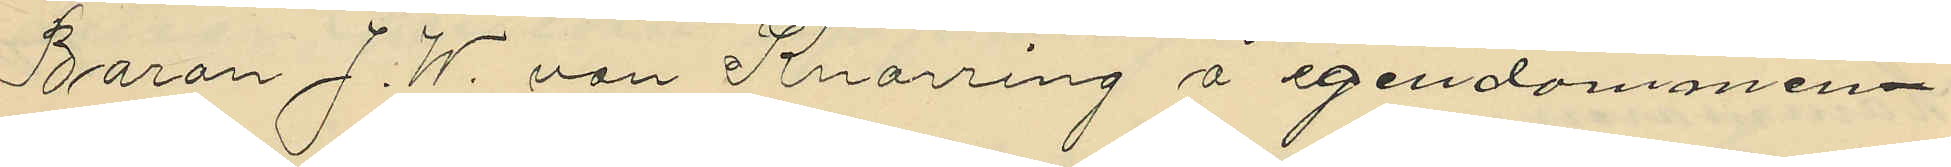Baron J. W. von Knorring å egendommen
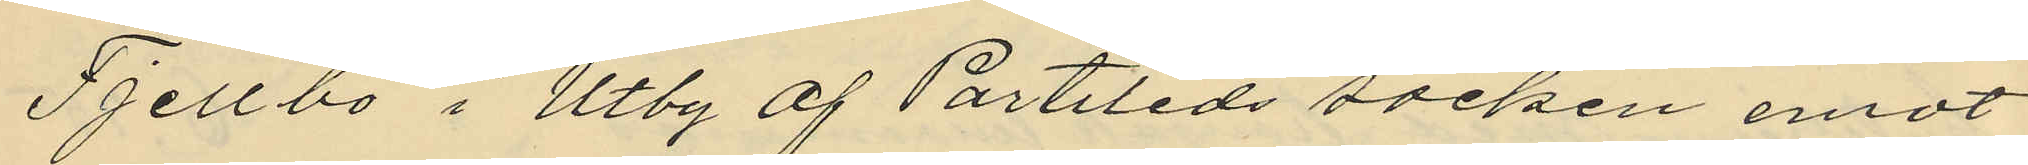Fjellbo i Utby af Partileds socken emot
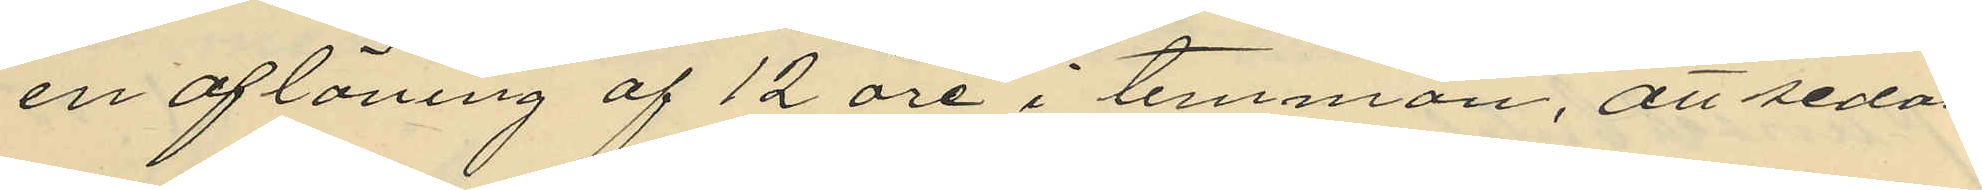en aflöning af 12 öre i timman, att sedan
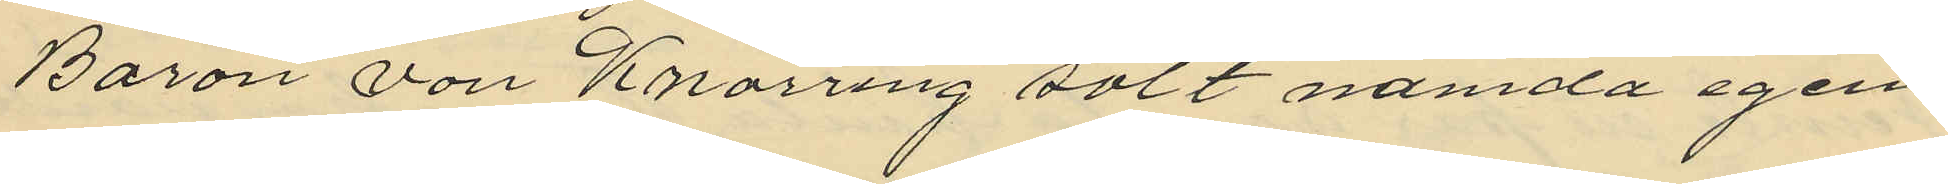Baron von Knorring sålt nämda egen
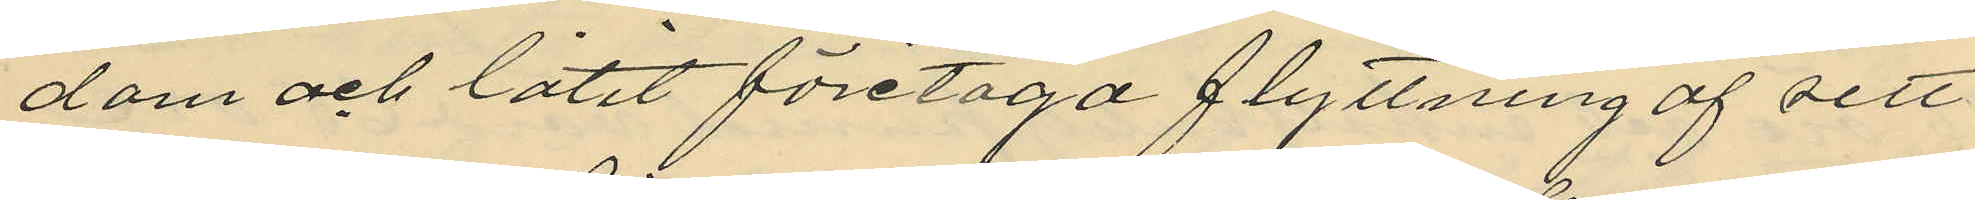dom och låtit företaga flyttning af sitt
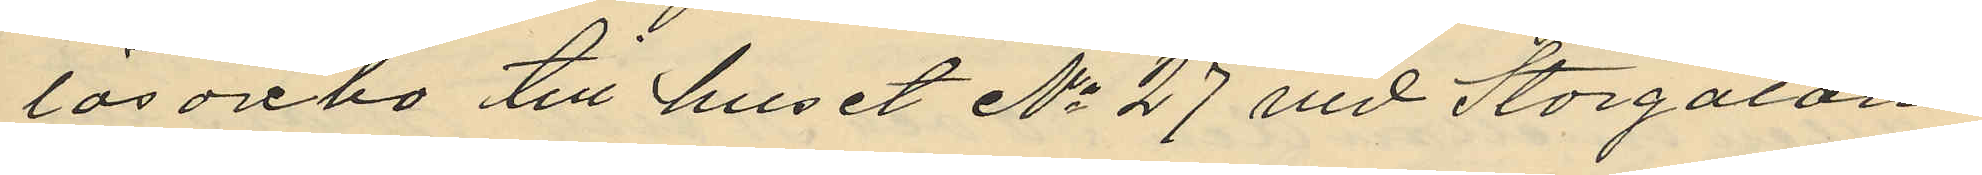lösörebo till huset No 27 vid Storgatan
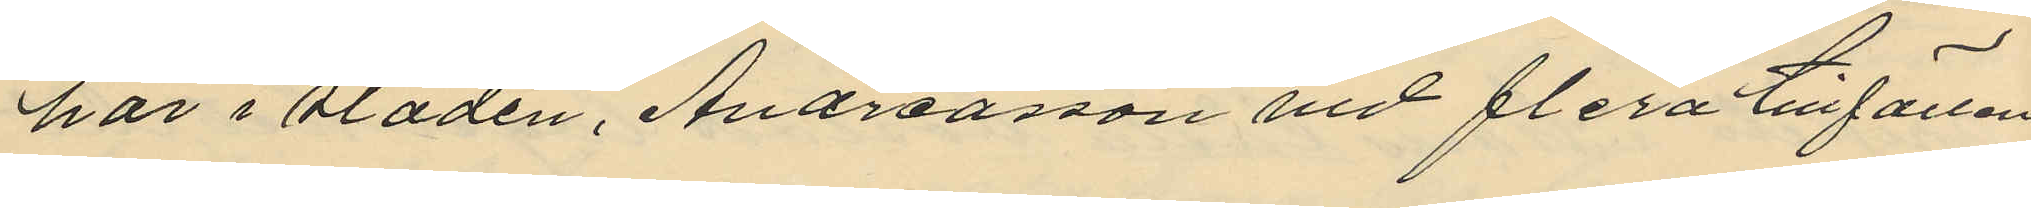här i sladen, Andreasson vid flera tillfällen
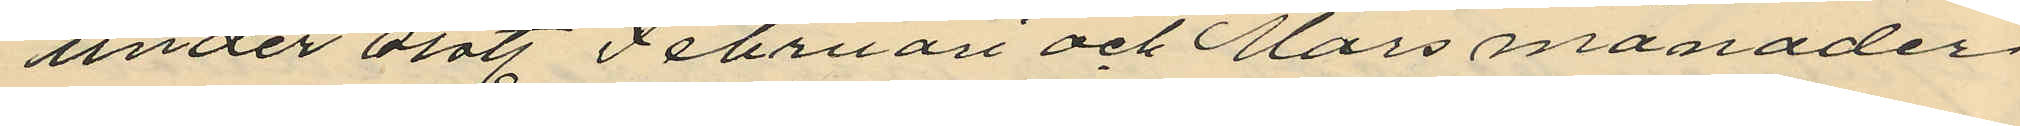under sist. Februari och Mars månader
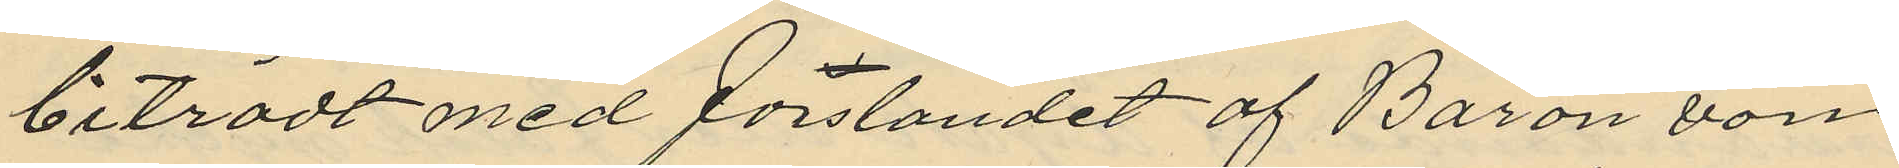biträdt med forslandet af Baron von
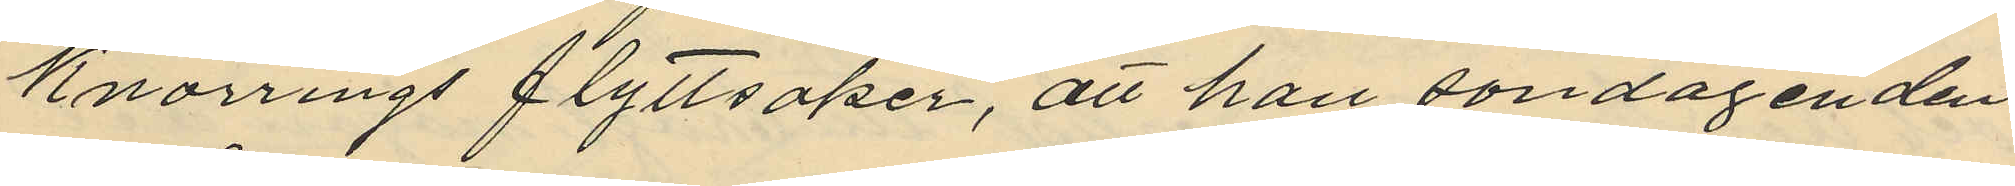Knorrings flyttsaker, att han söndagenden
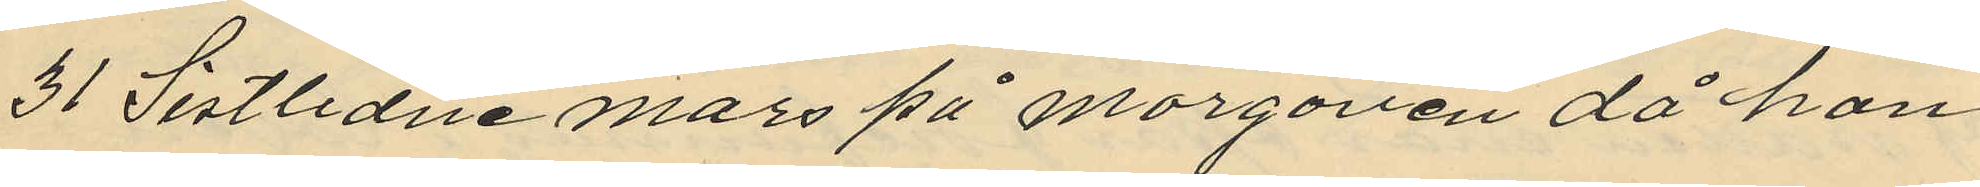31 Sistlidne Mars på morgonen då han
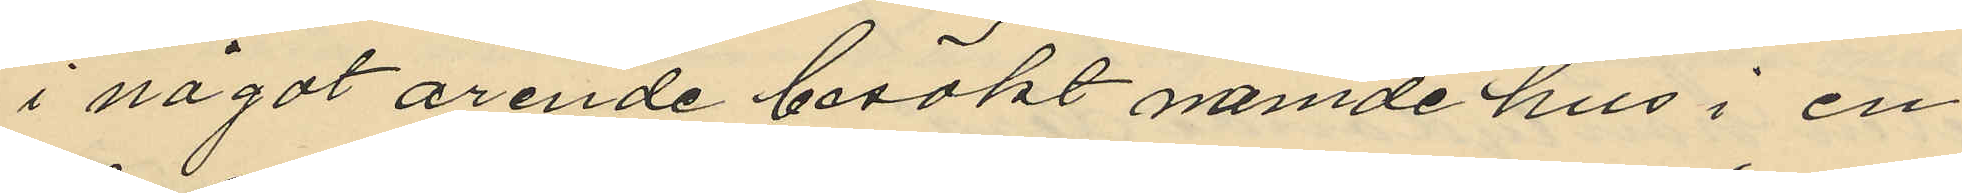i något ärende besökt nämde hus i en
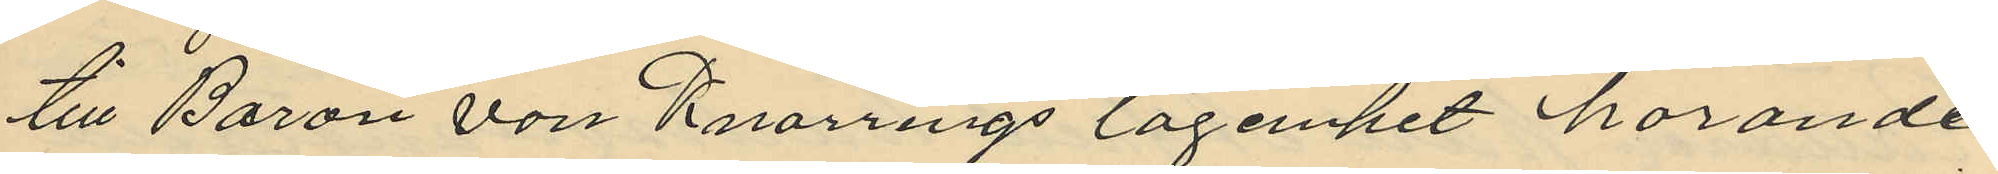till Baron von Knorrings lägenhet hörande
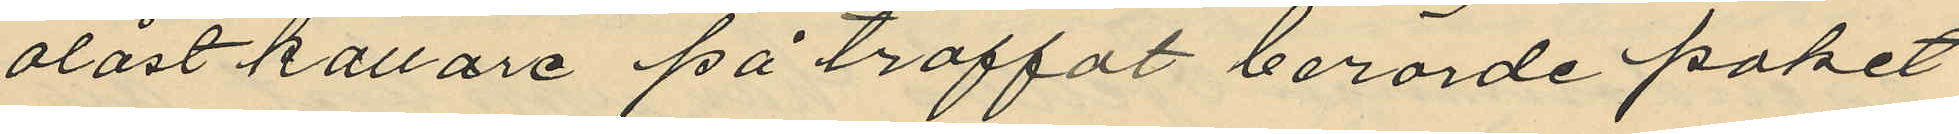olåst källare på träffat berörde paket
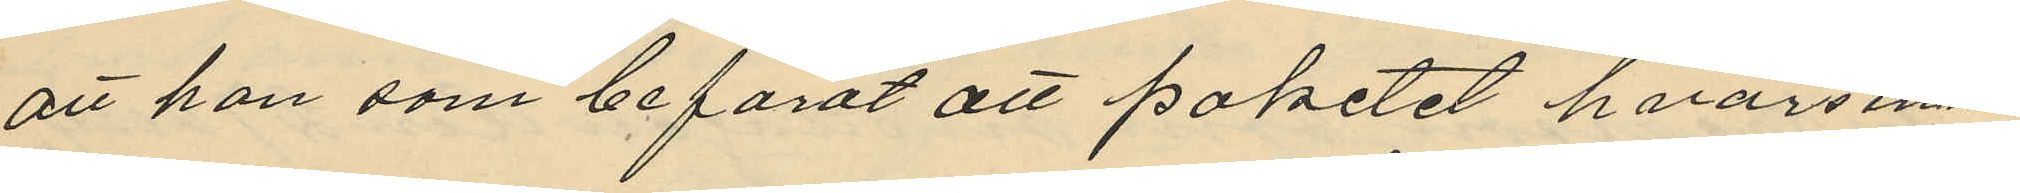att han som befarat att paketet hvars inne¬
